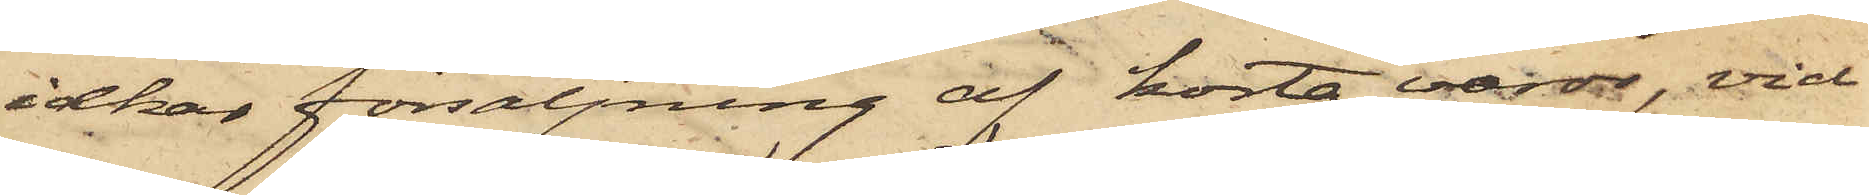idkar försäljning af korta varor, vid
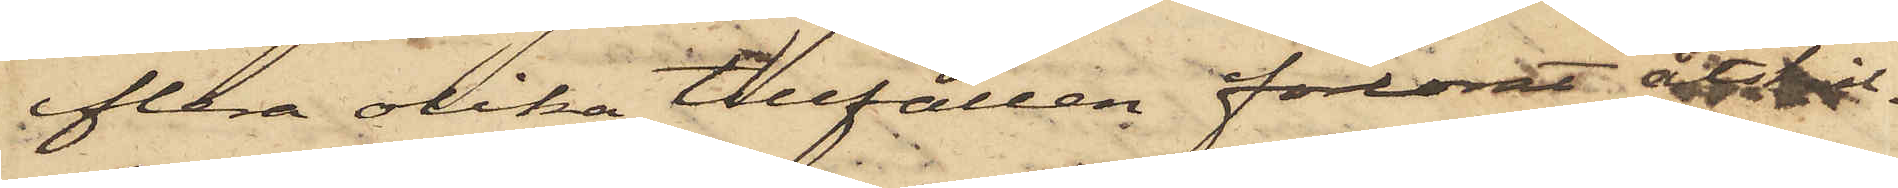flera olika tillfällen förlorat åtskil¬
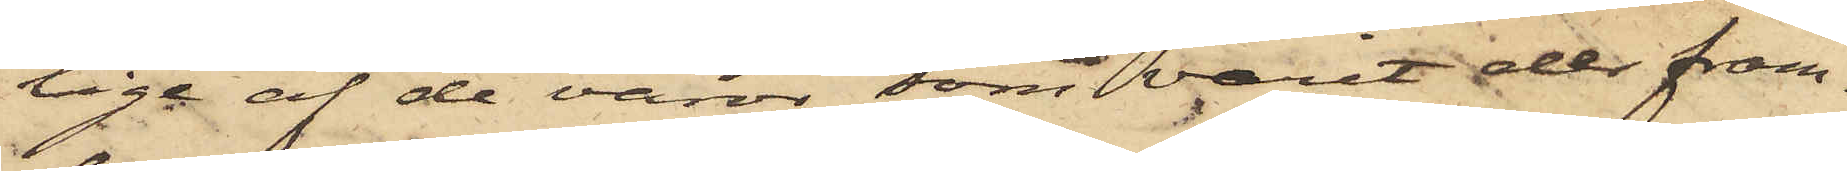liga af de varor, som varit der fram¬
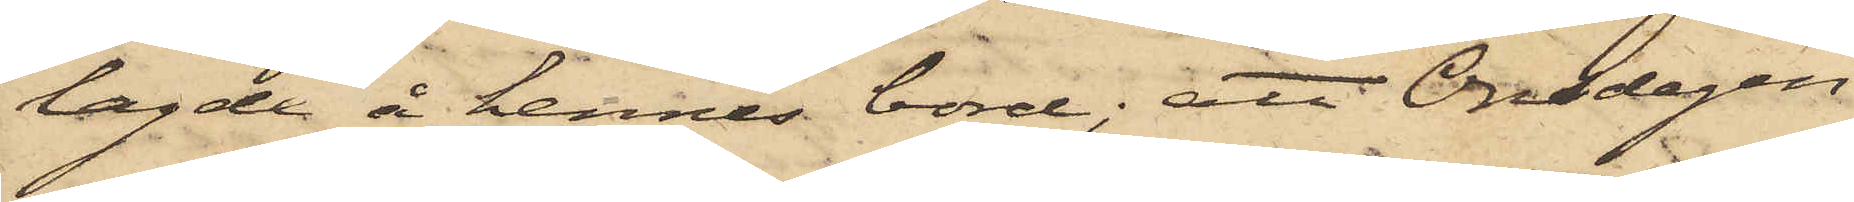lagde å hennes bord; att Onsdagen
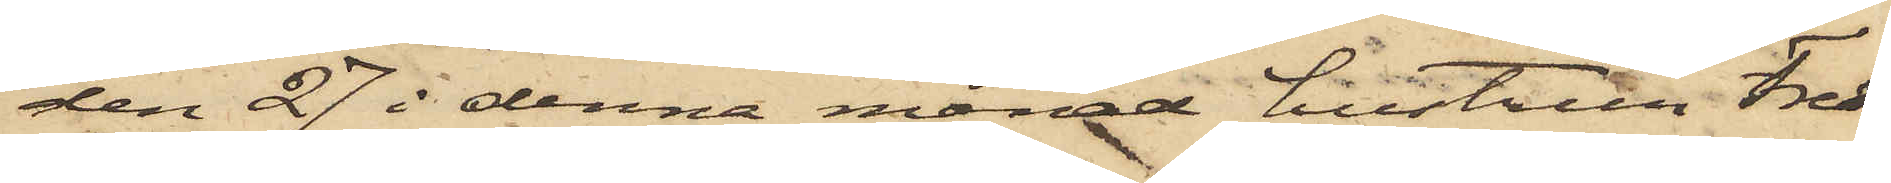den 27 i denna månad hustrun Fred¬
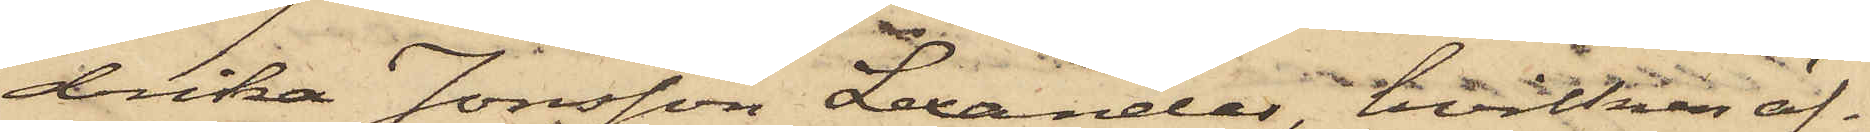drika Jonsson Lexander, hvilken äf¬
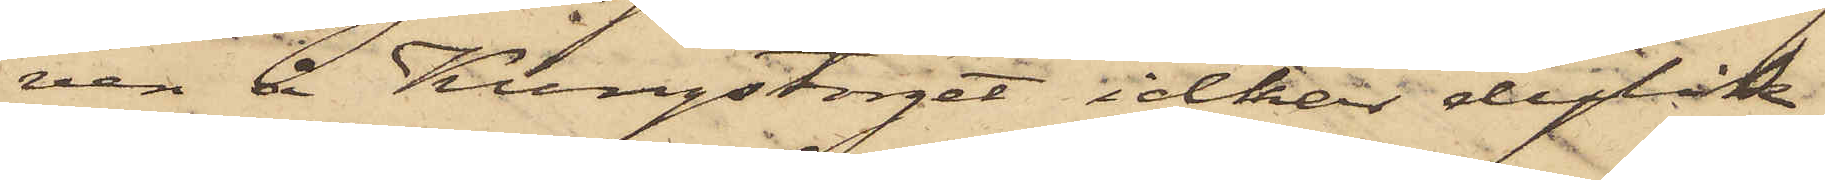ven å Kungstorget idkar dylik
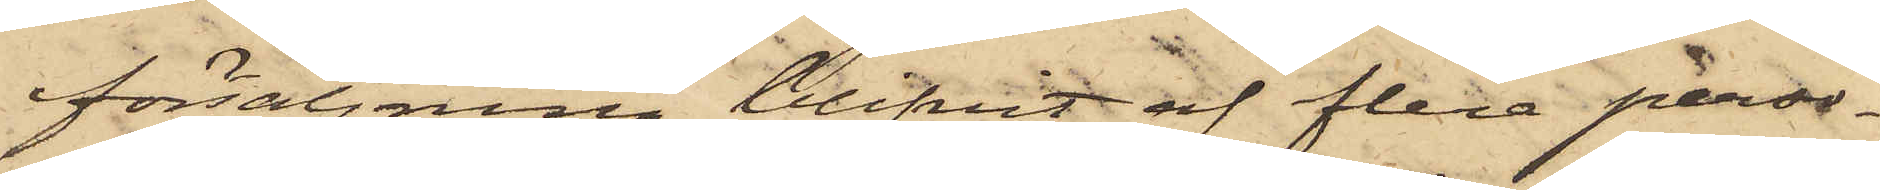försäljning, blifvit af flera perso¬
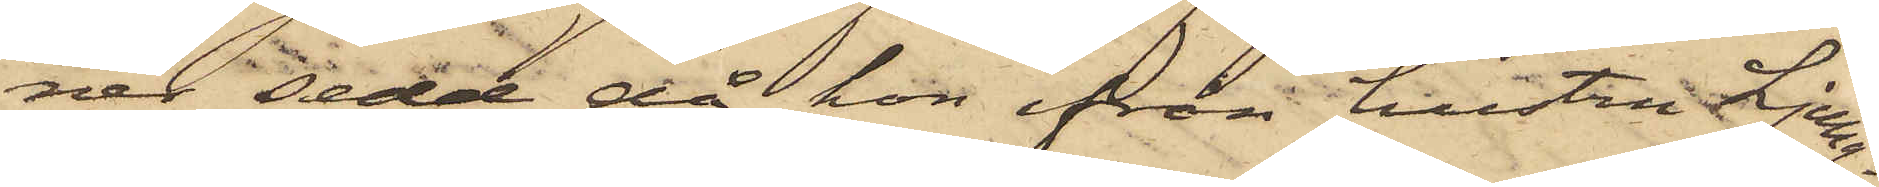ner sedd, då hon ifrån hustru Ljung¬
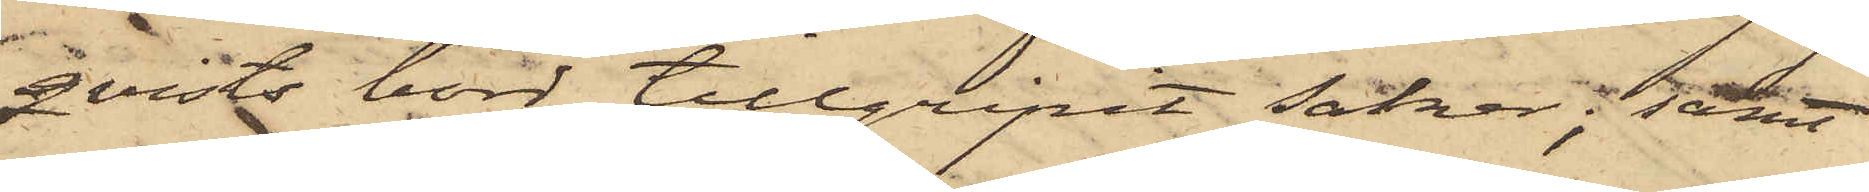qvists bord tillgripit saker; samt
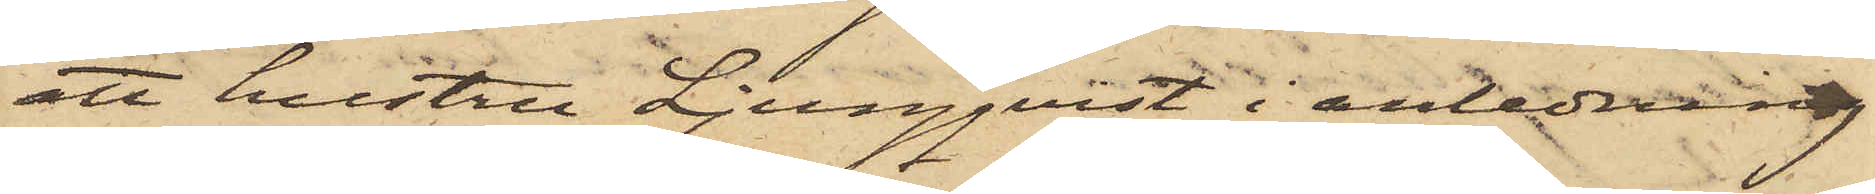att hustru Ljungqvist i anledning
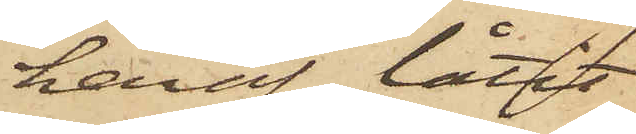härav låtit
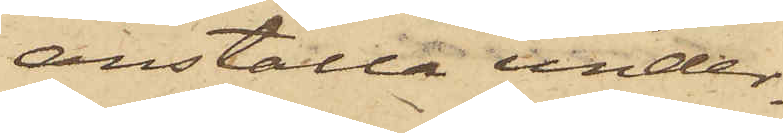anställa under¬
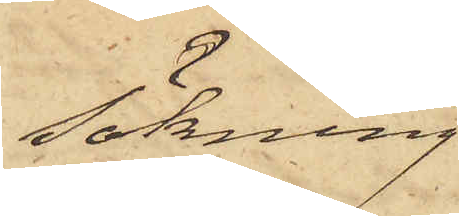sökning
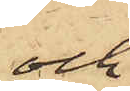och
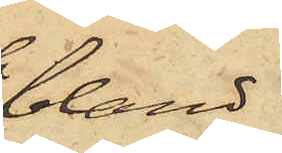bland
